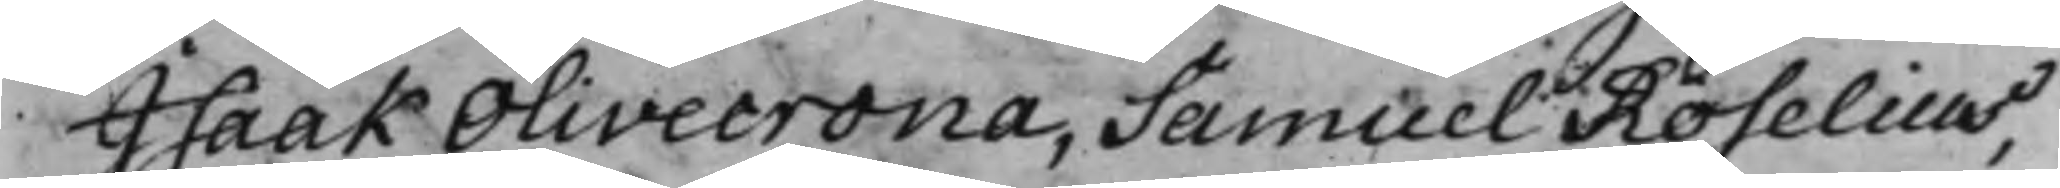Isaak Olivecrona, Samuel Roselius,
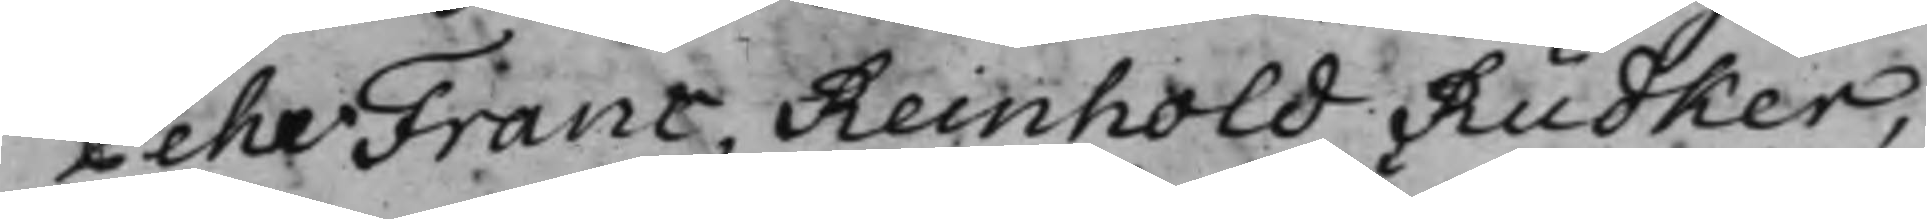Pehr Franc, Reinhold Rüdker,
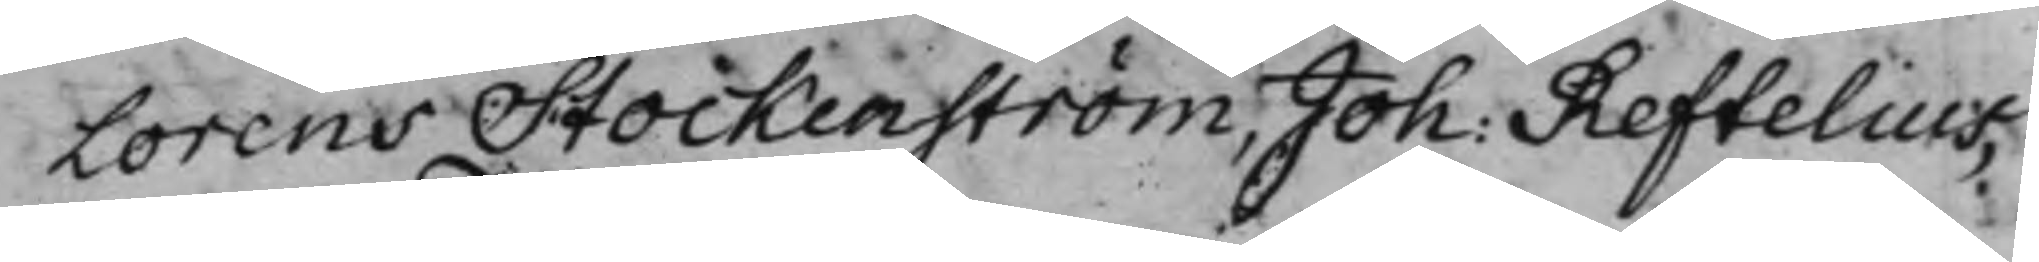Lorens Stockenström, Joh: Reftelius,
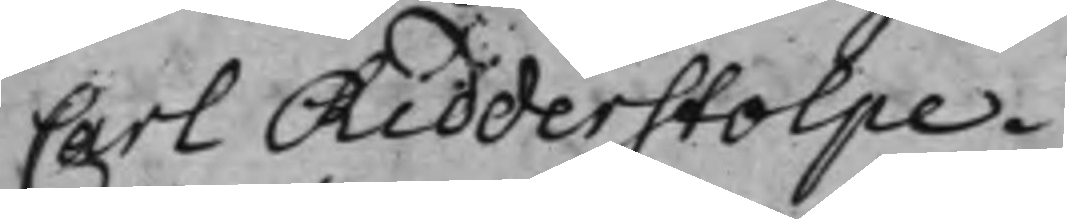Carl Ridderstolpe.
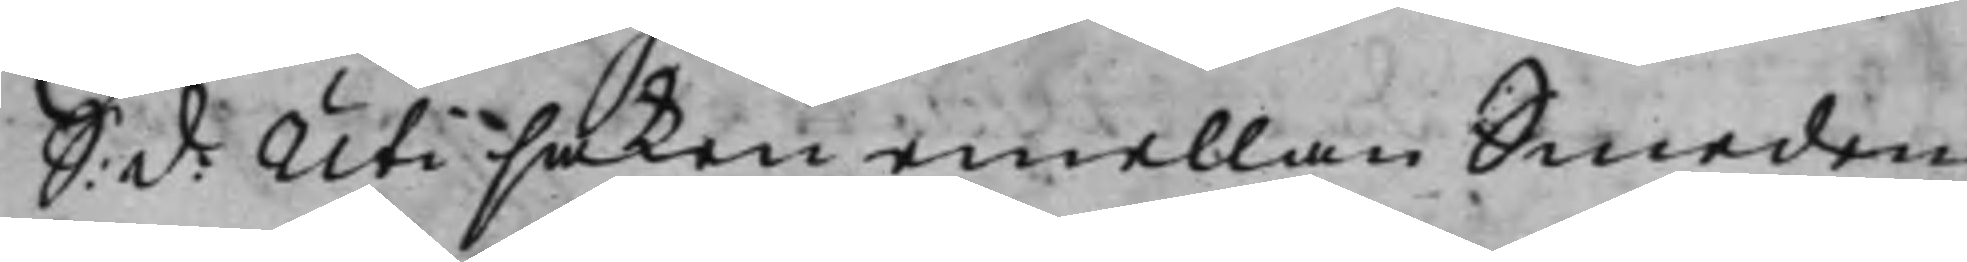S: d: Uti saken emellan Smeden
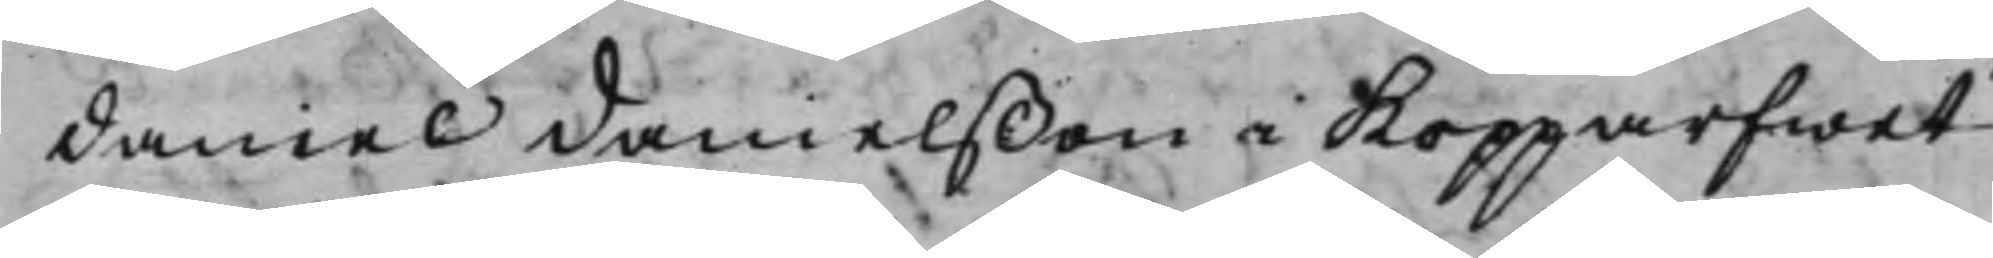Daniel Danielßon i Kopparfwet
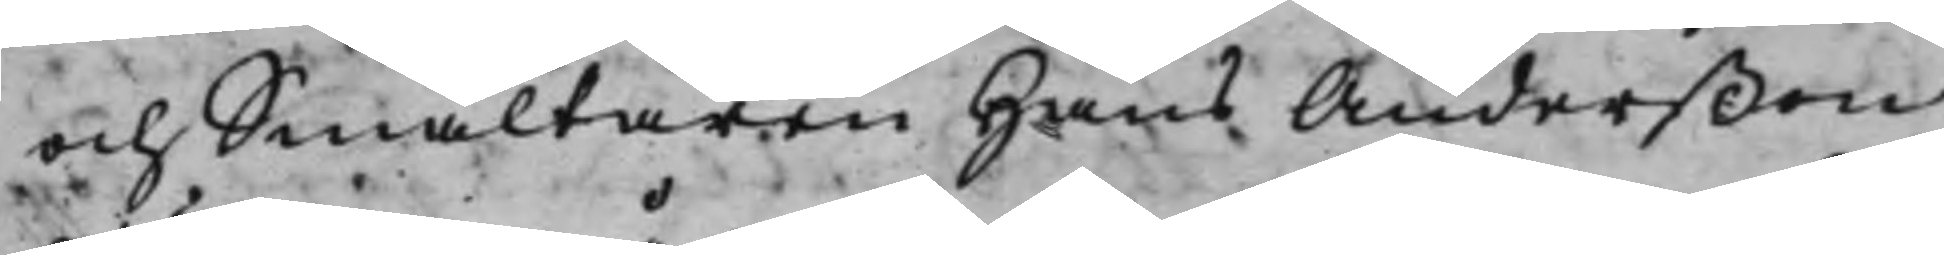och Smältaren Hans Anderßon
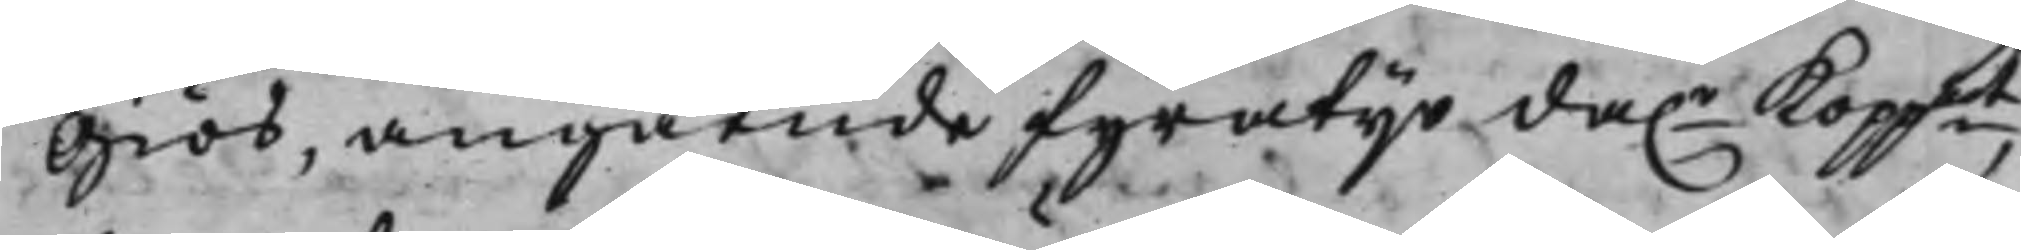Giös, angående fyratijo da.r Koppmt
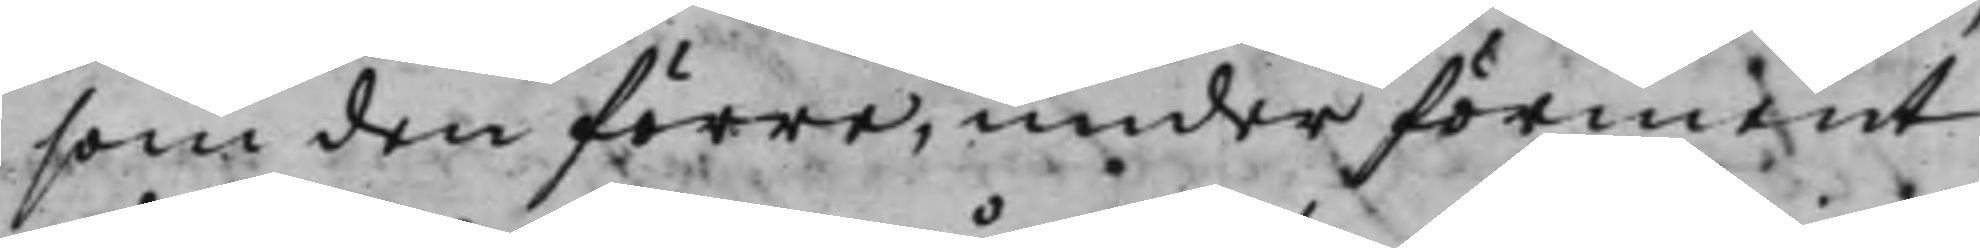som den förre, under förment
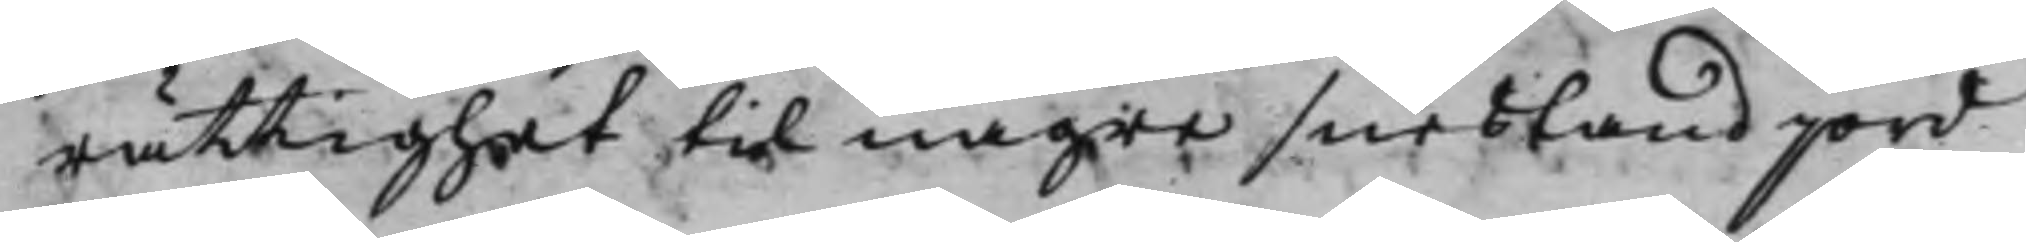rättighet til några snesland jord
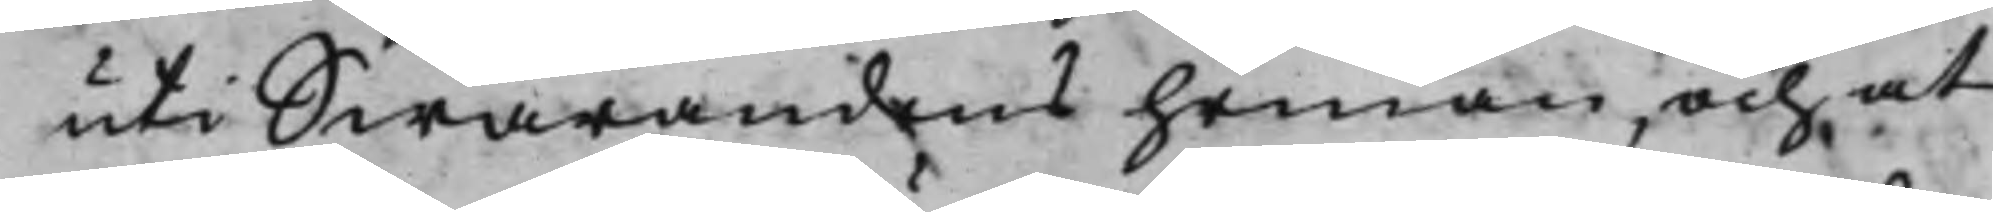uti Swarandens heman, och at
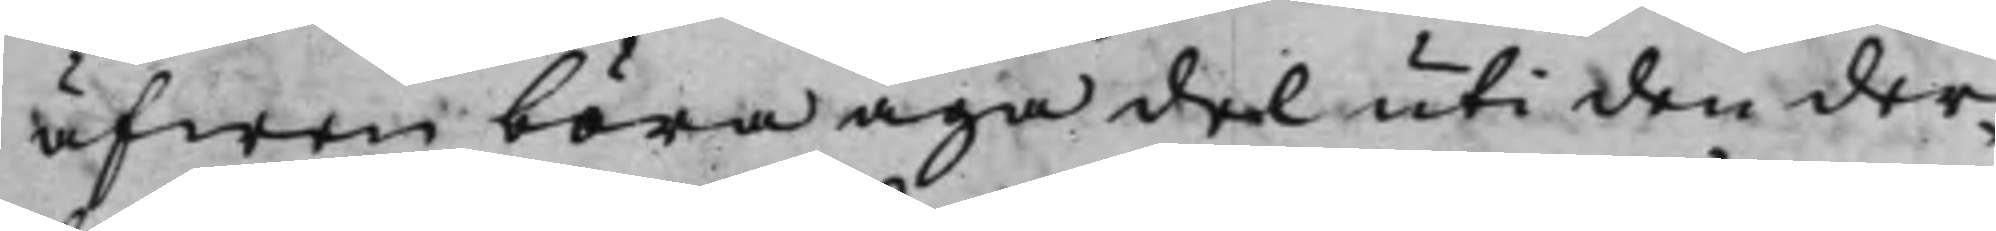äfwen böra äga del uti den der¬
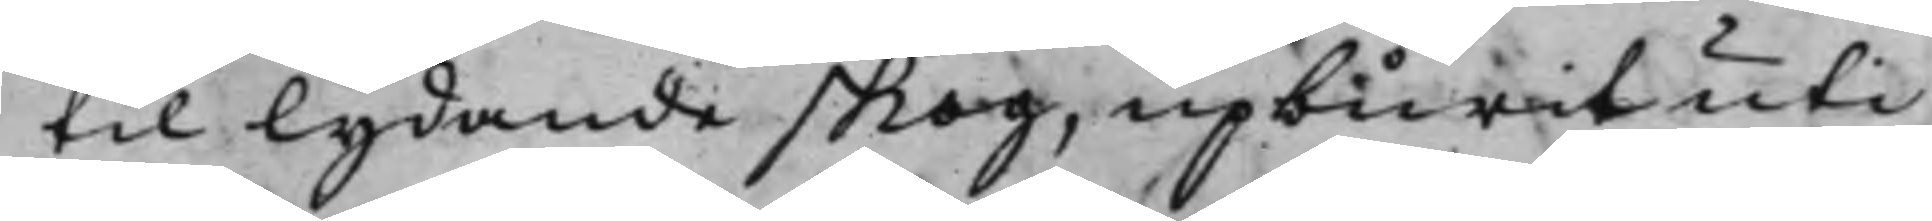til lydande skog, upburit uti
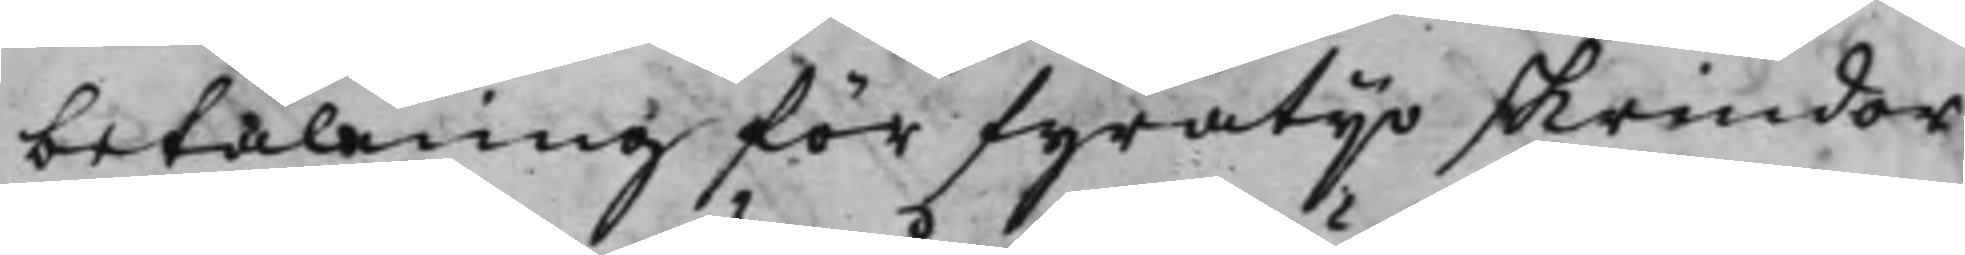betalning för fyratijo skrindor
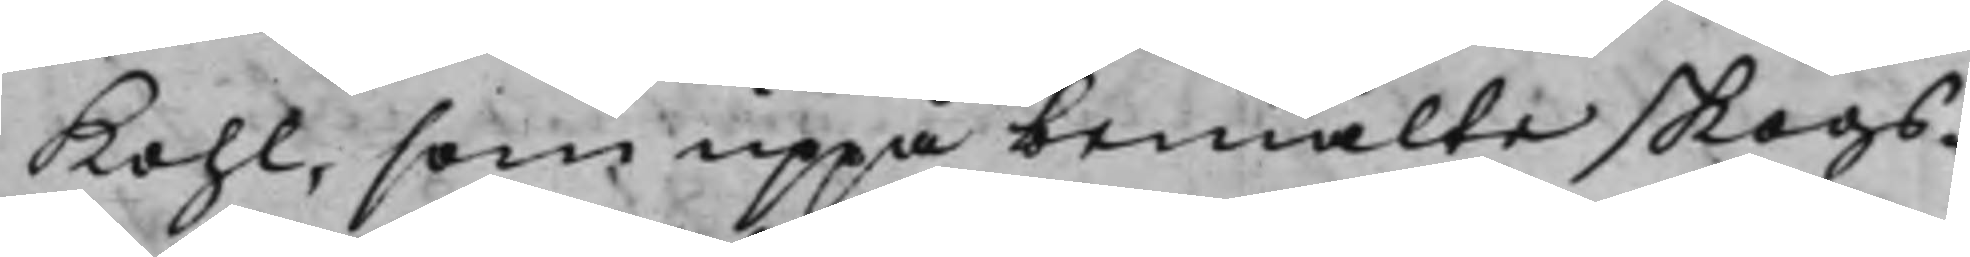Kohl, som uppå bemälte skogs¬
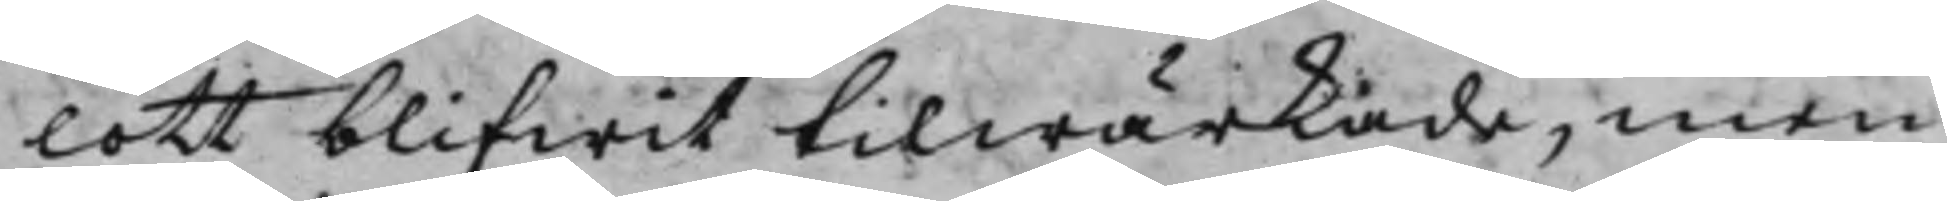lott blifwit tilwärkade, men
